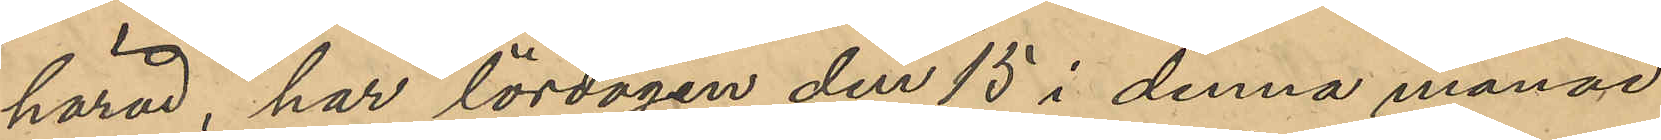härad, har lördagen den 15 i denna månad
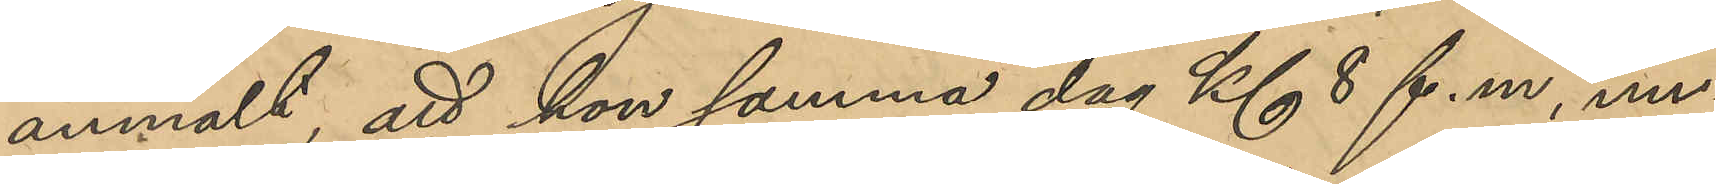anmält, att hon samma dag Kl 8 f. m., un¬
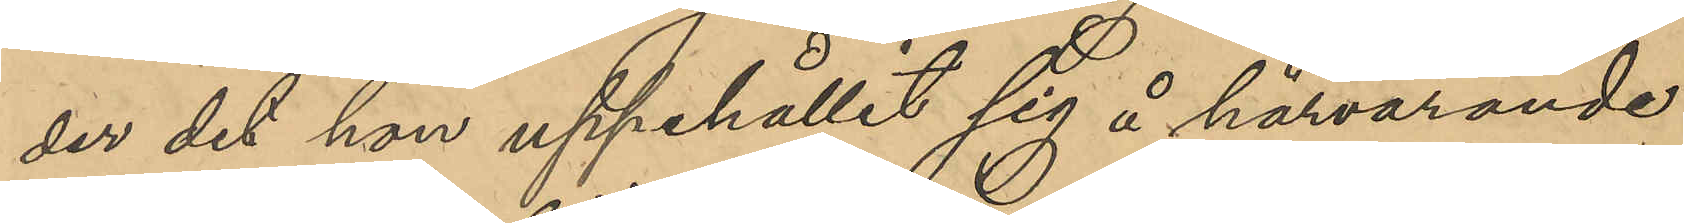der det hon uppehållit sig å härvarande
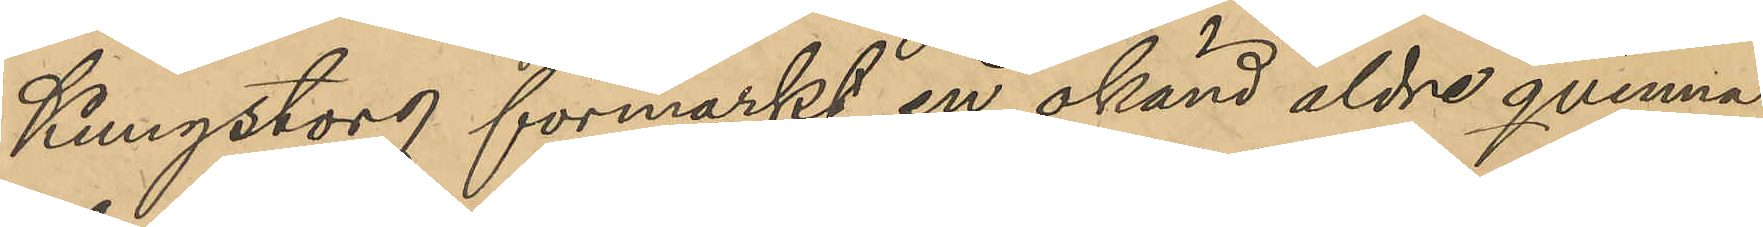Kungstorg förmärkt en okänd äldre qvinna
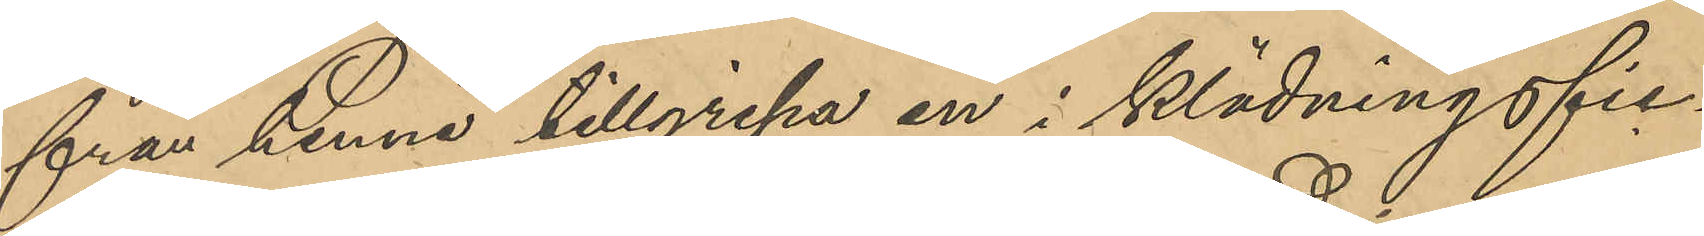från henne tillgripa en i klädningsfic¬
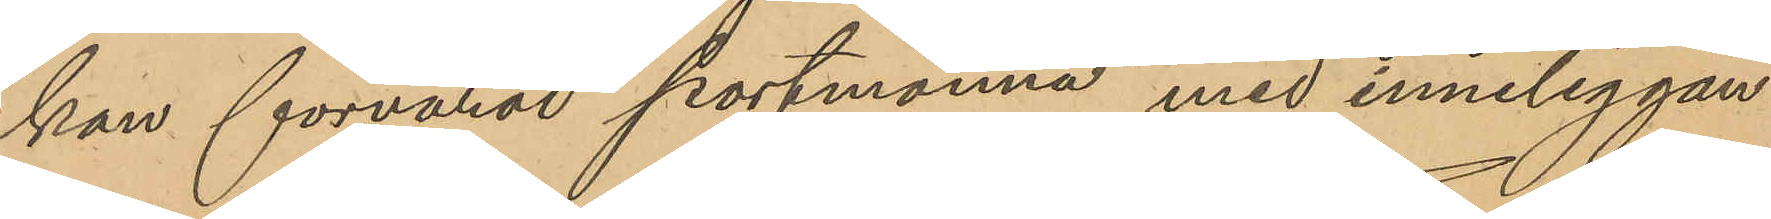kan förvarad portmonnä med inneliggan¬
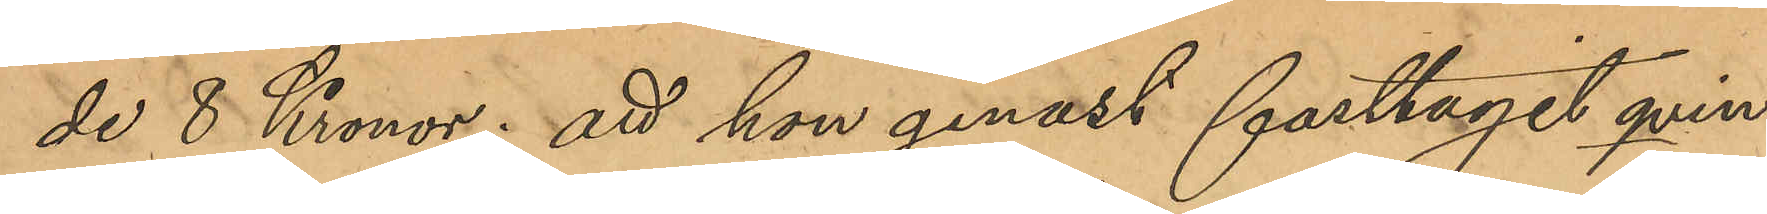de 8 Kronor; att hon genast fasttagit qvin¬
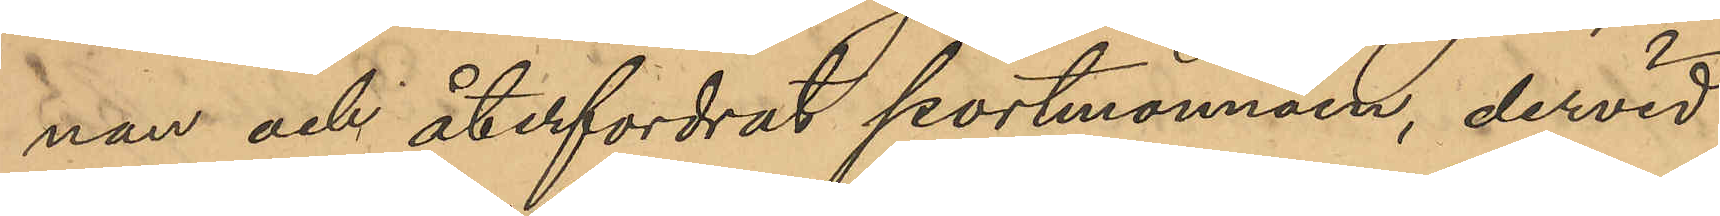nan och återfordrat portmonnäen, dervid
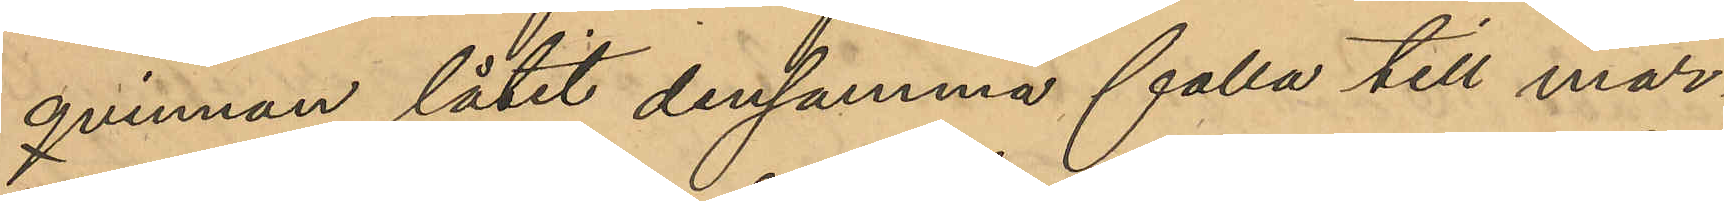qvinnan låtit densamma falla till mar¬
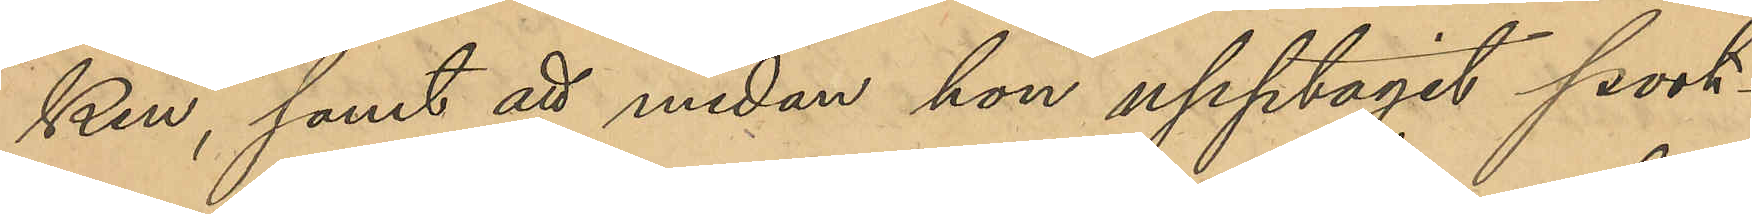ken, samt att medan hon upptagit port¬
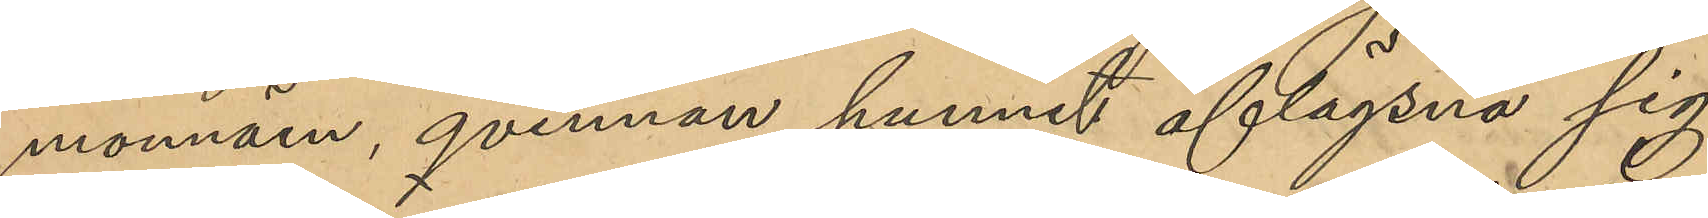monnäen, qvinnan hunnit aflägsna sig
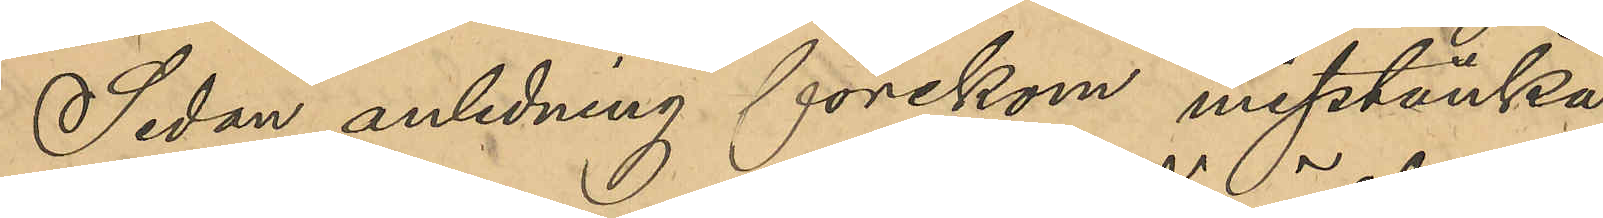Sedan anledning förekom misstänka
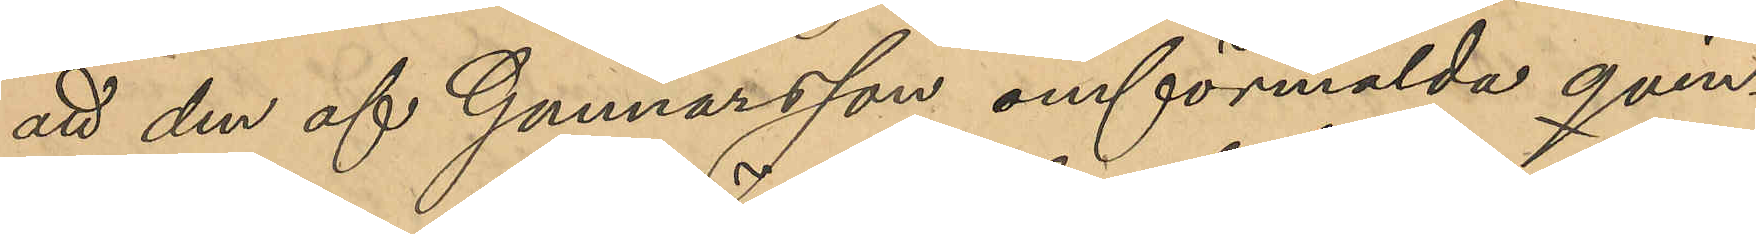att den af Gunnarsson omförmälda qvin¬
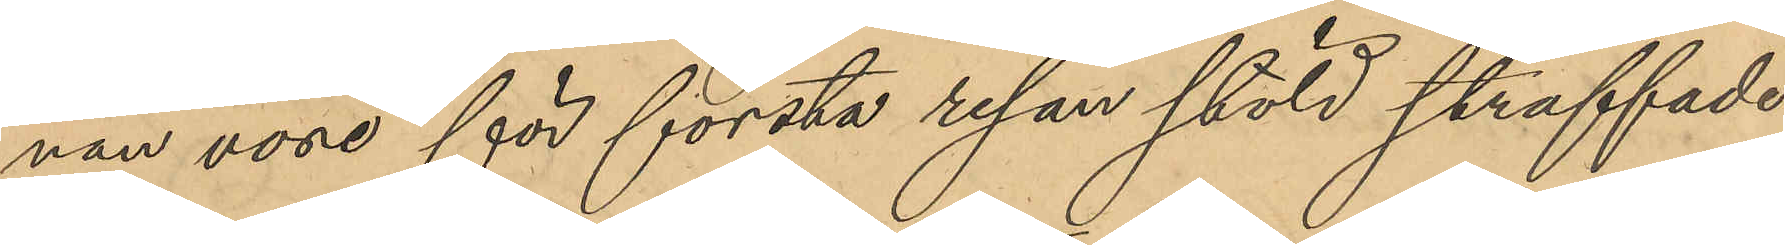nan vore för första resan stöld straffade
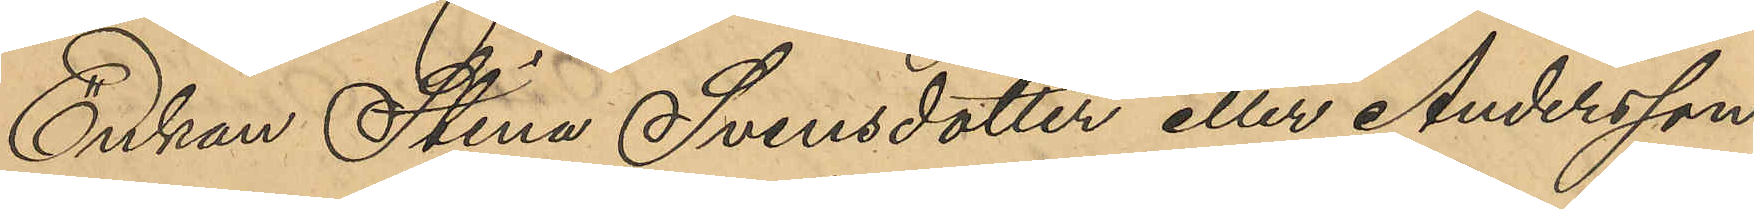Enkan Stina Svensdotter eller Andersson
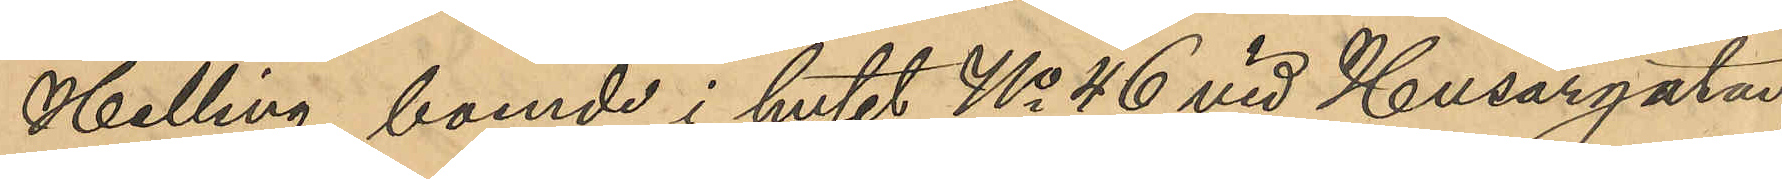Helling, boende i huset No 46 vid Husargatan,
